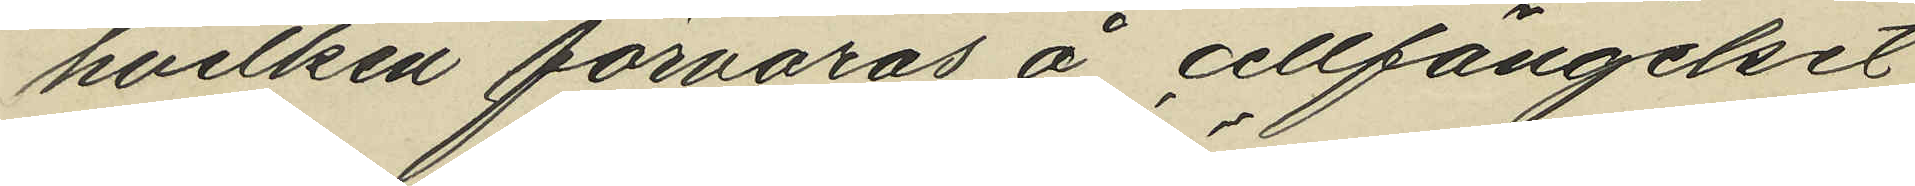hvilken förvaras å cellfängelset
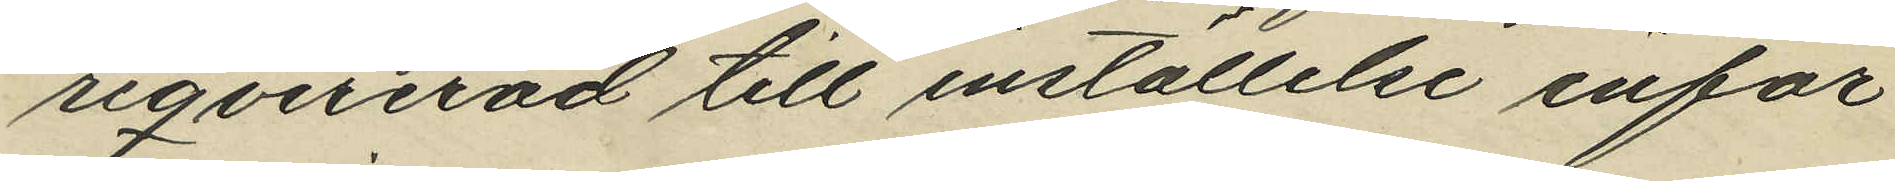reqvirerad till inställelse inför
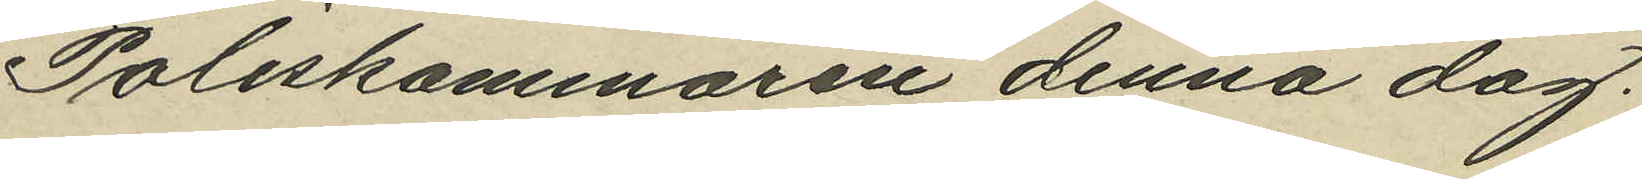Poliskammaren denna dag.
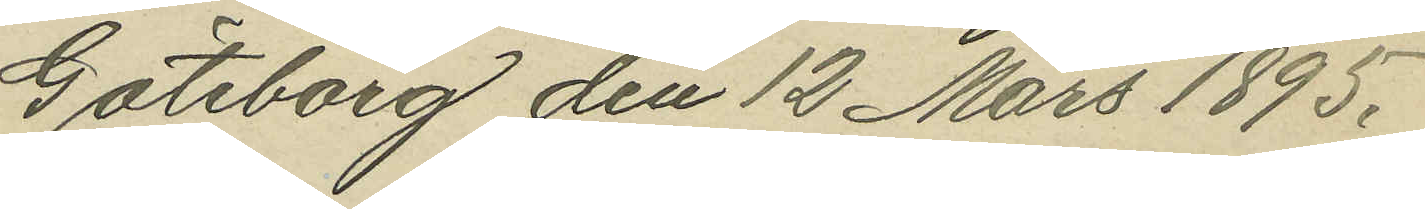Göteborg den 12 Mars 1895.
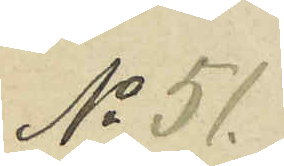No 51.
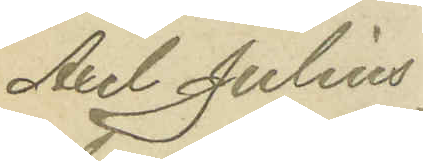Axel Julius
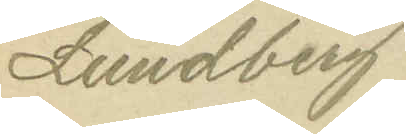Lundberg
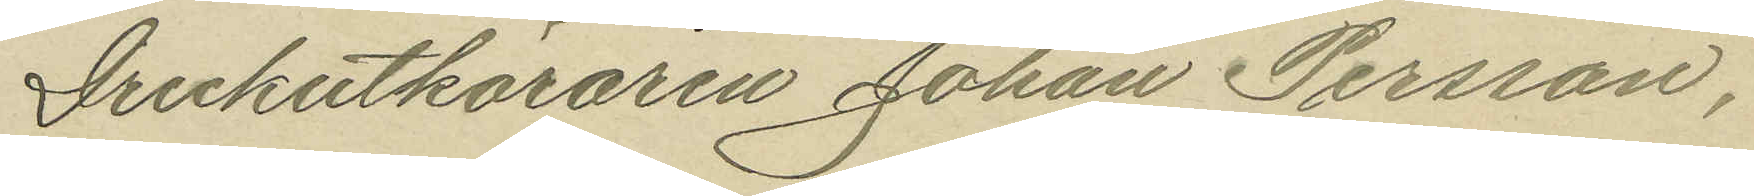Drickutkäraren Johan Persson,
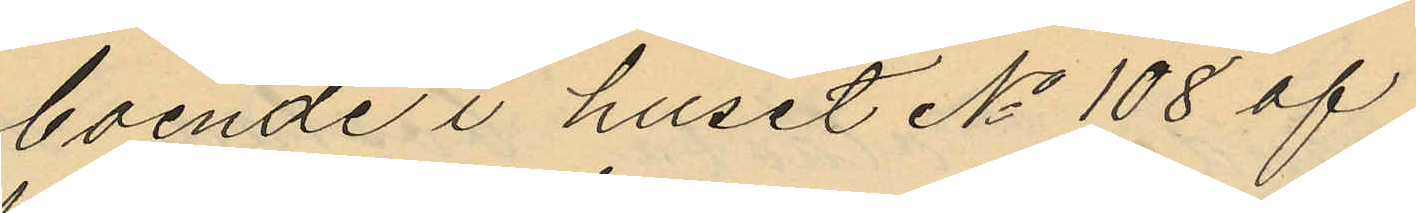boende i huset No 108 af
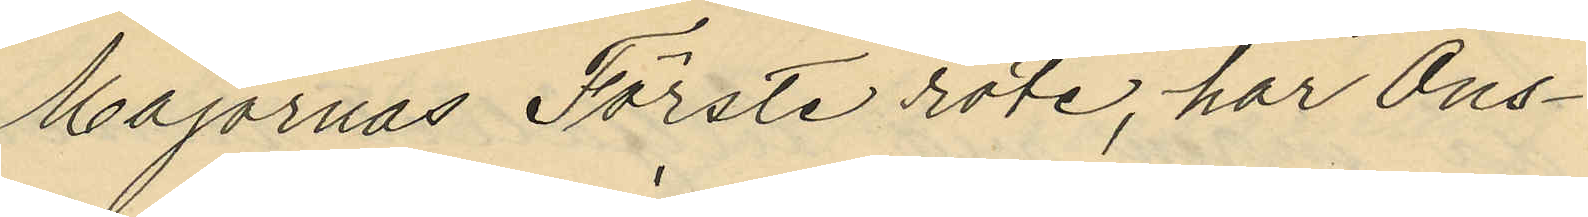Majornas Förste rote, har Ons¬
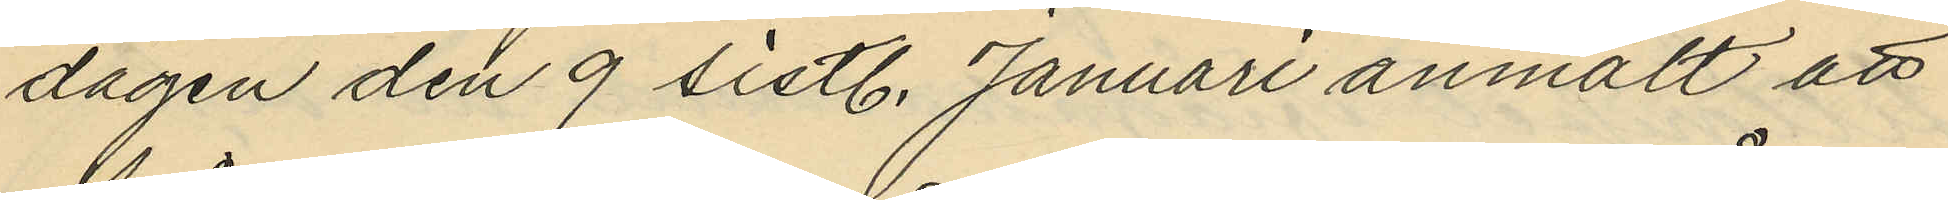dagen den 9 sistl. Januari anmält att
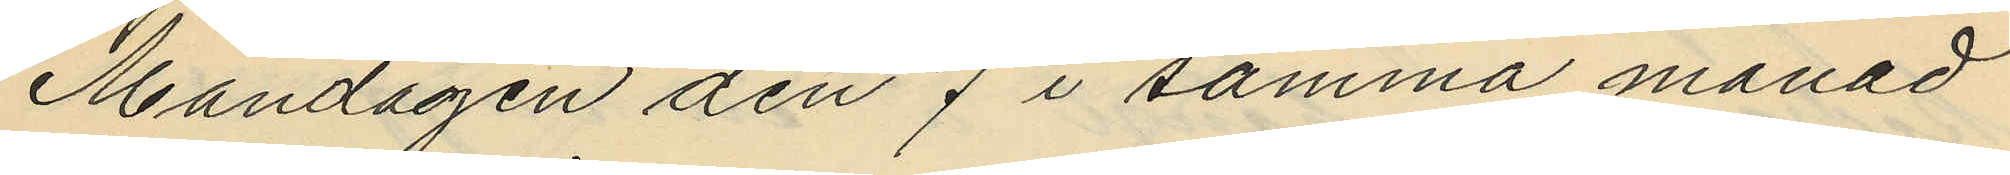Måndagen den 7 i samma månad
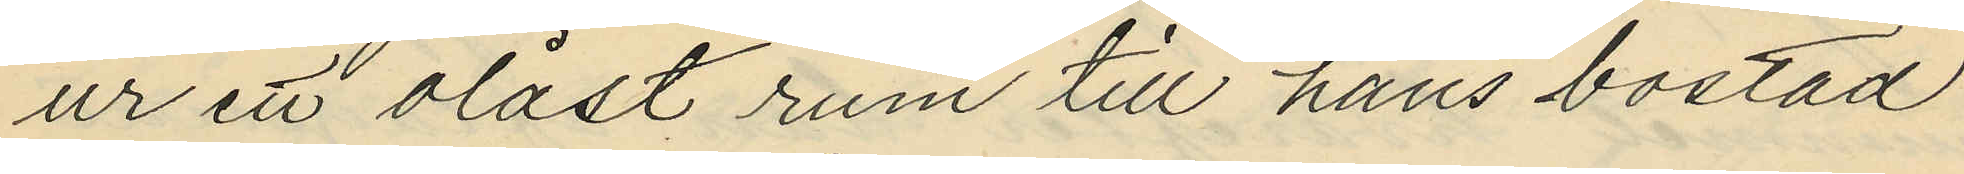ur ett olåst rum till hans bostad
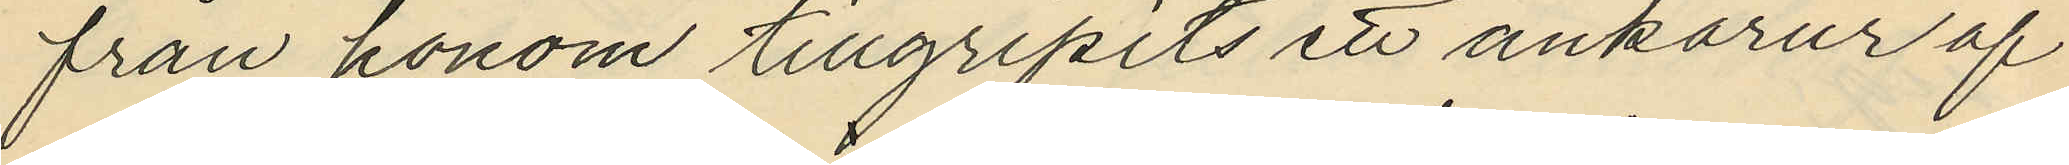från honom tillgripits ett ankarur af
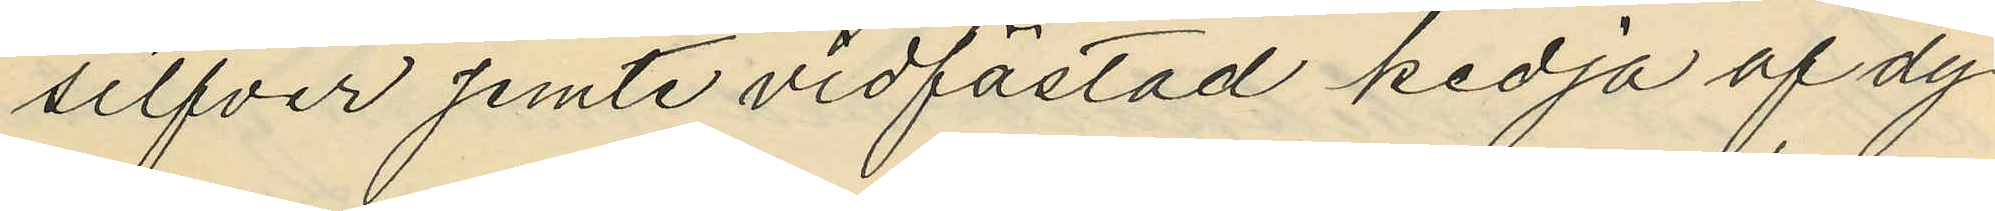silfver jemte vidfästad kedja af dy¬
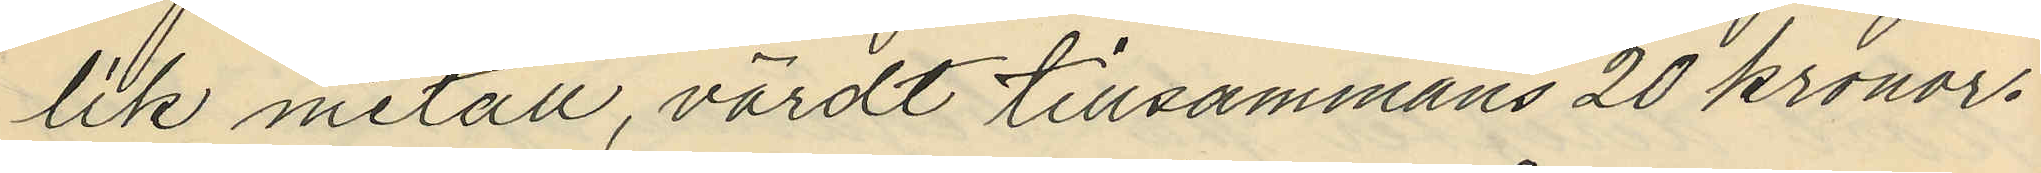lik metall, värdt tillsammans 20 kronor.
